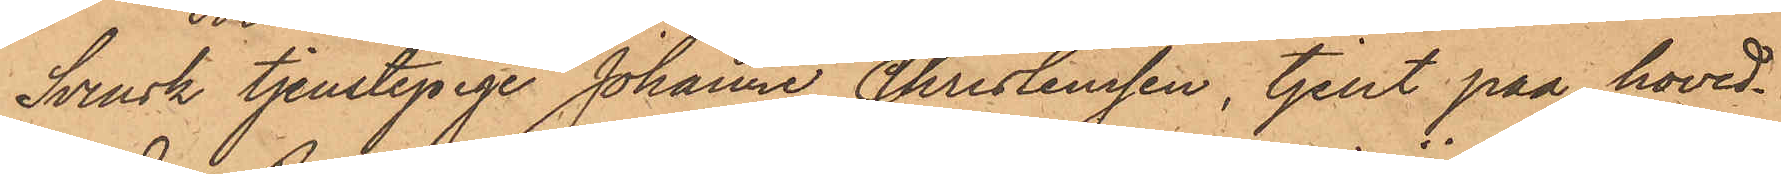Svensk tjenstepige Johanne Christensson, tjenst paa hoved¬
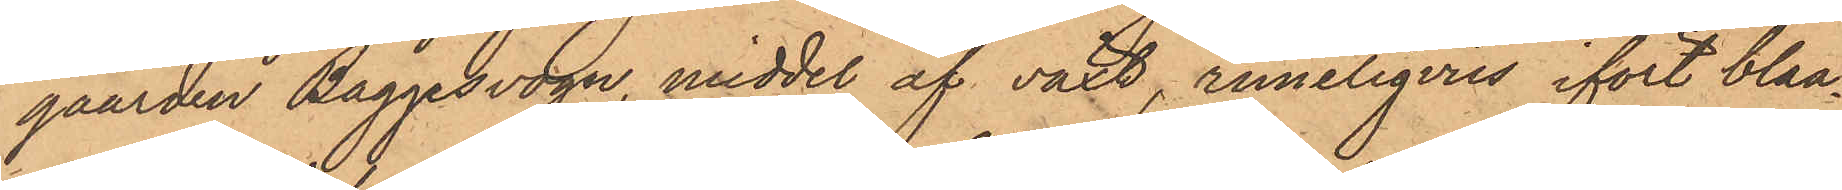gaarden Baggesvogn, middel af växt, rimeligviis ifört blaa¬
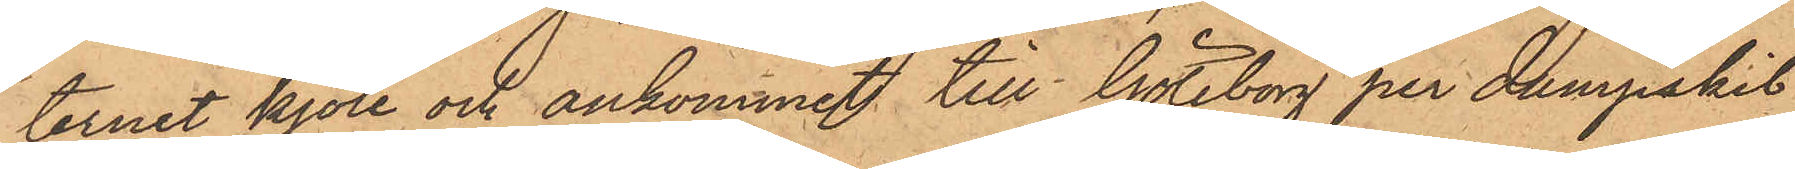ternet kjole och ankommet till Göteborg per dampeskib
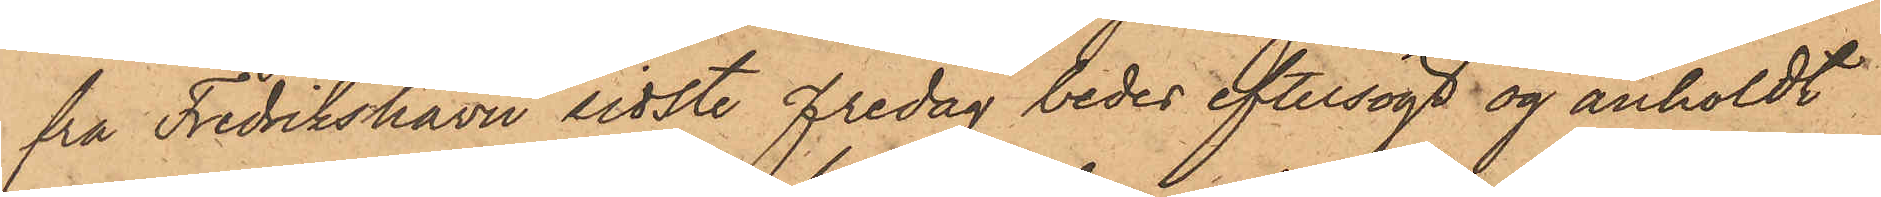fra Fredrikshavn sidste Fredag bedes eftersögt og anholdt
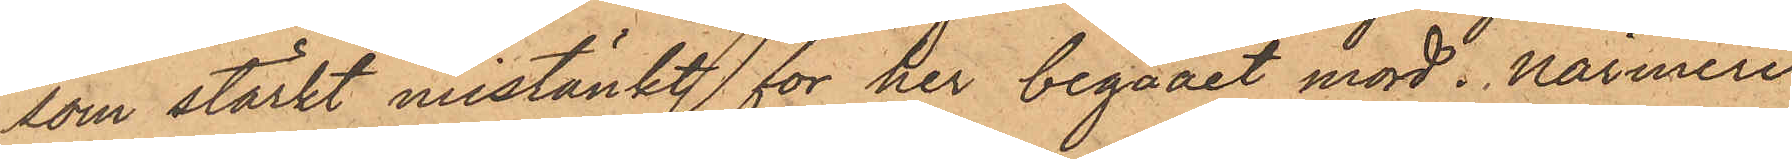som stärkt mistänkt för her begaaet mord. Närmere
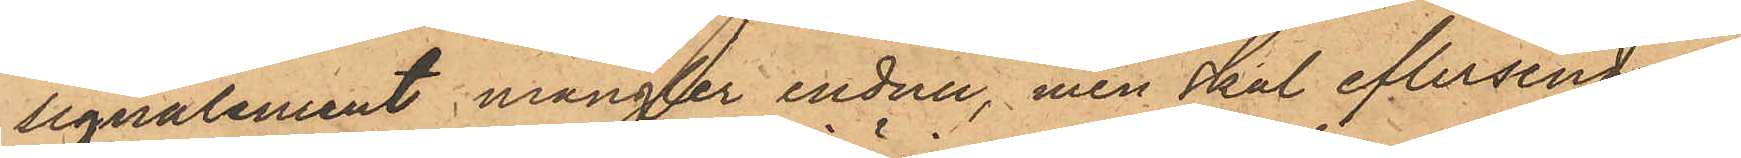signalement mangler endnu, men skal eftersendes.
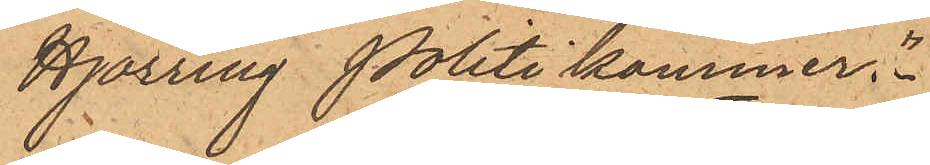Hjörring Politikammer."
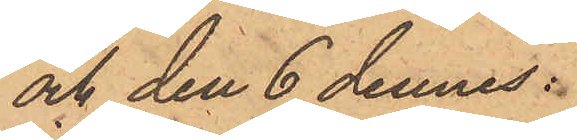och den 6 dennes:
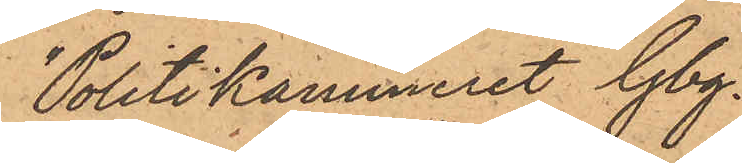"Politikammeret Gbg.
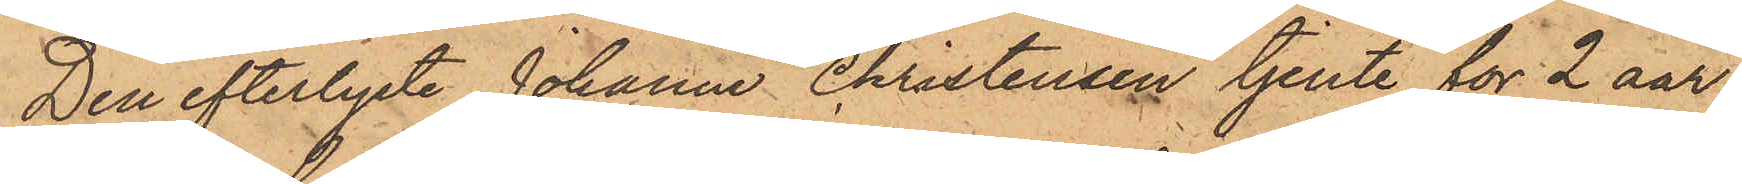Den efterlyste Johanne Christensen tjente för 2 aar
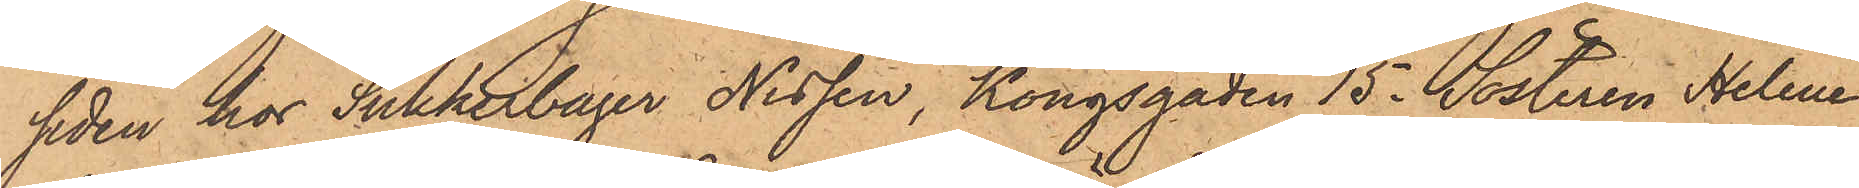siden hos Sukkerbager Nissen, Kongsgaden 15. Sösteren Helena
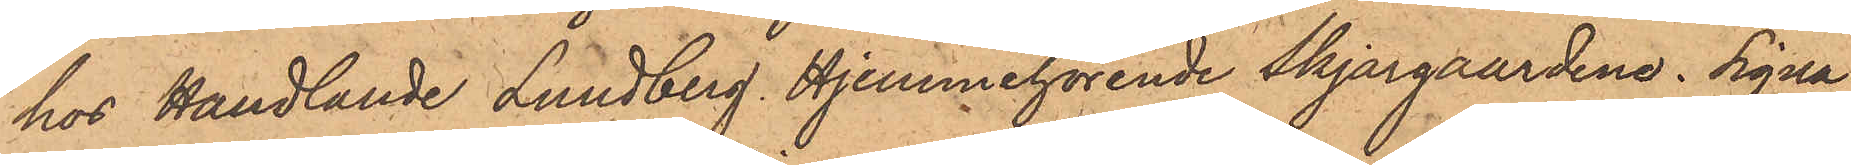hos Handlande Lundberg. Hjemmehörende Skjargaardene. Signa¬
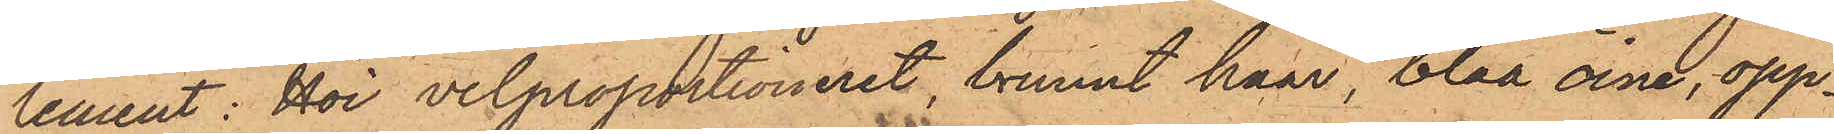lement: Höi velproportioneret, brunnt haar, blaa öine, opp¬
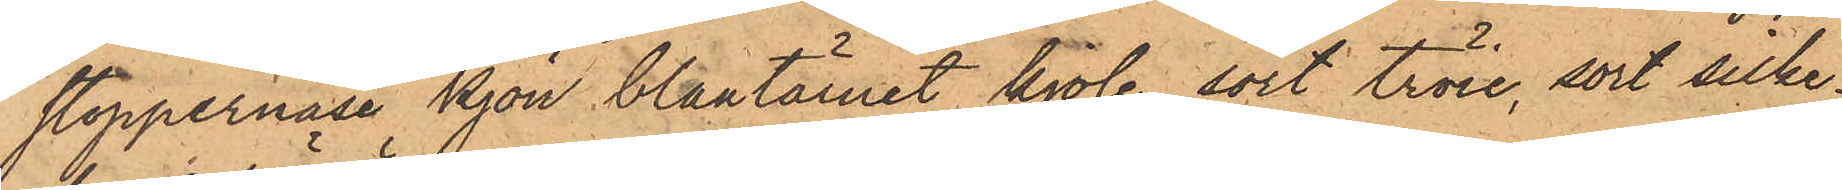stoppernäse kjön blaatärnet kjole, sort tröie, sort silke¬
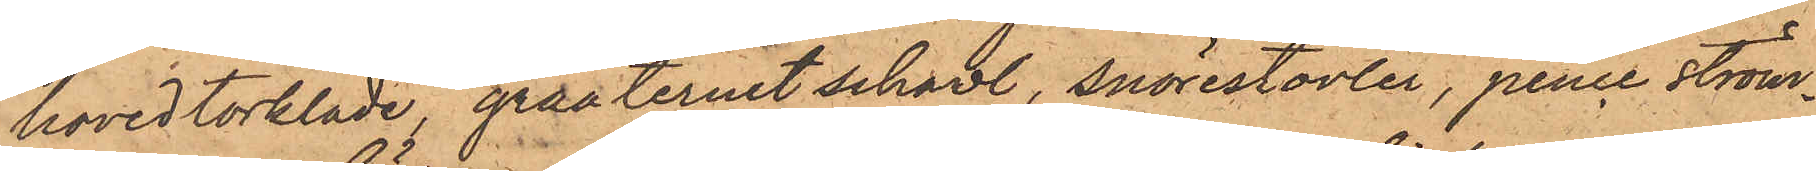hovedtörkläde, graaternet schawl, snörestovler, pence ström¬
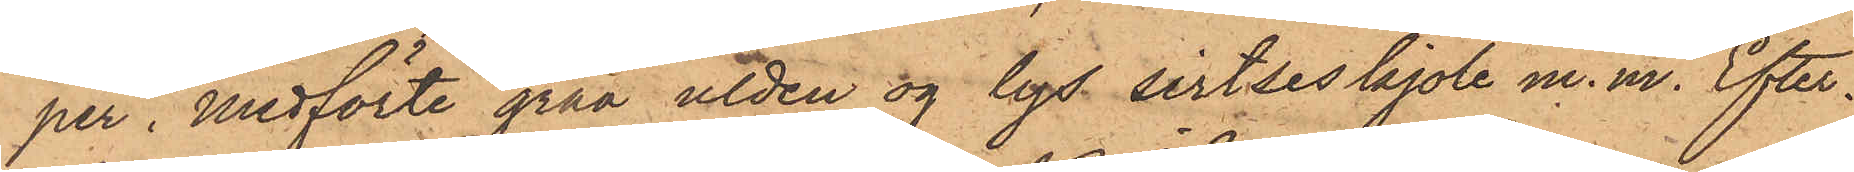per. Medförte graa ulden og lys sirtseskjole m. m. Efter¬
